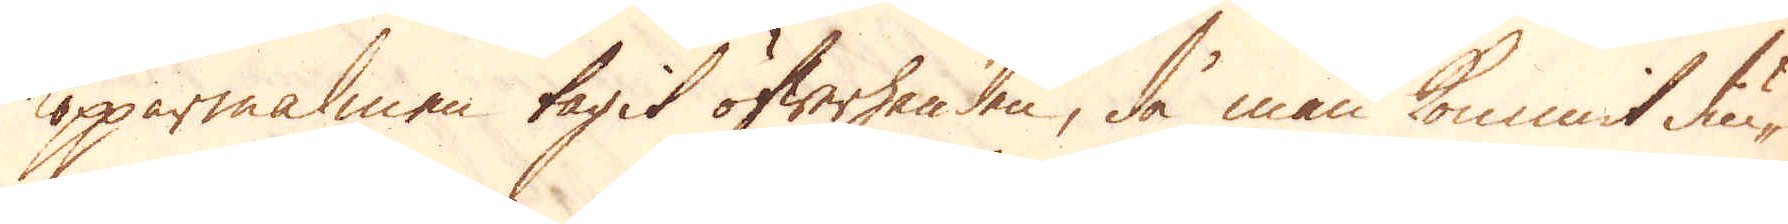Kopparmalmen tagit öfwerhanden, då man kommit diu-
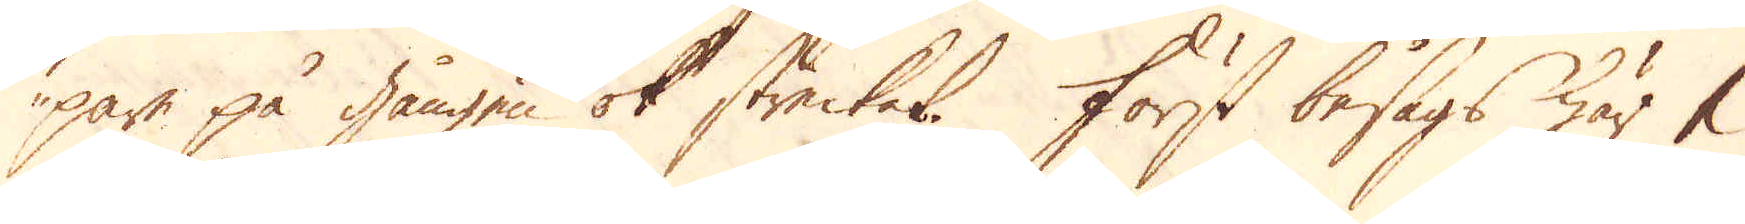pare på gången ok strecket. Först besågs här 1
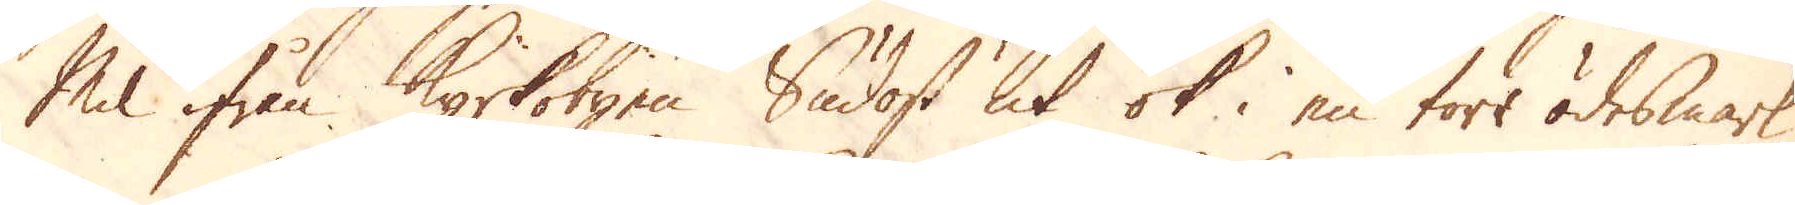Mil ifrån Kyrkobyen Sudost ut ok i en torr ödesmark,
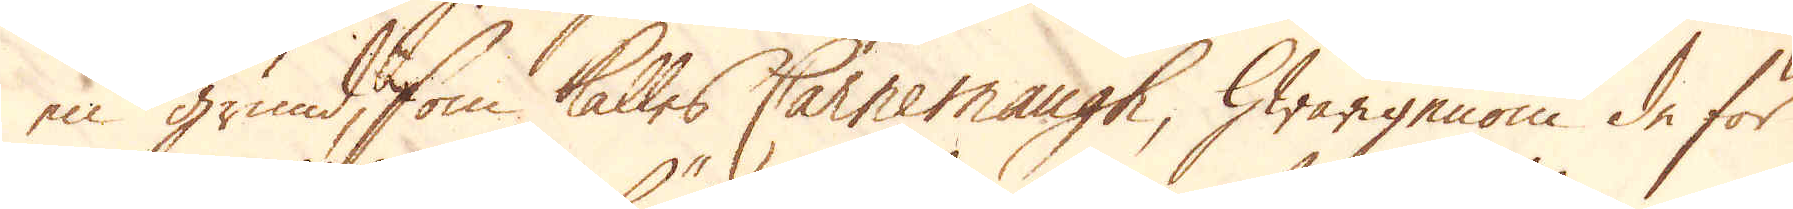en grund, som kalles Carnemaugh, hwarigenom de för
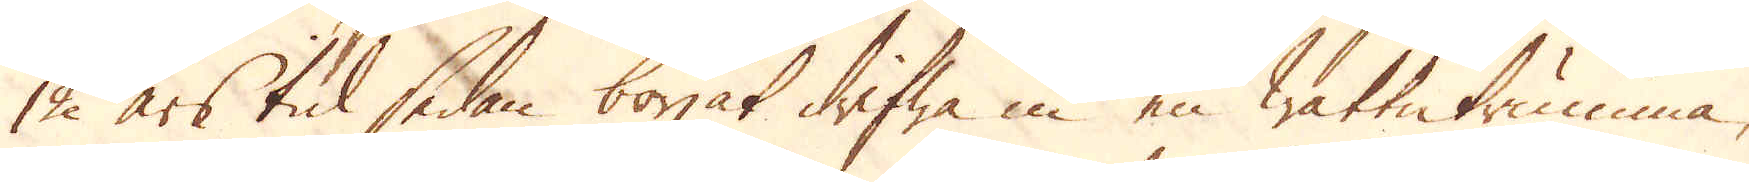12 års tid sedan börjat drifwa in en wattutrumma,
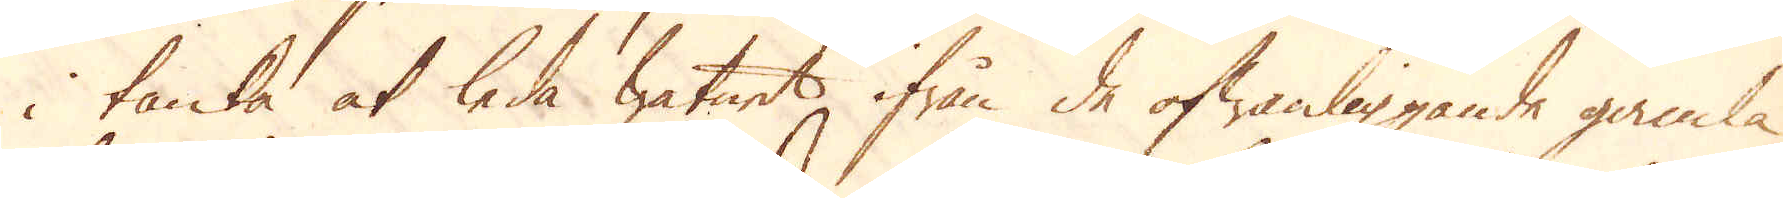i tanka at leda watnet ifrån de ofwanliggande gamla
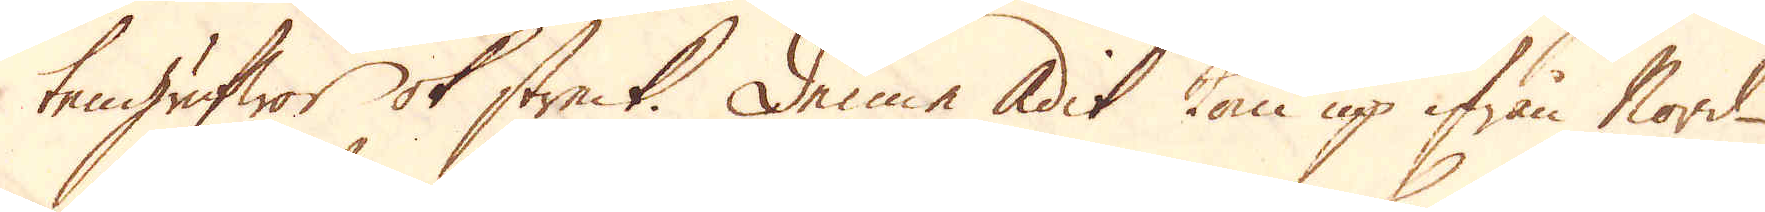tengrufwor ok streck. Denne Adit kom up ifrån Nord-
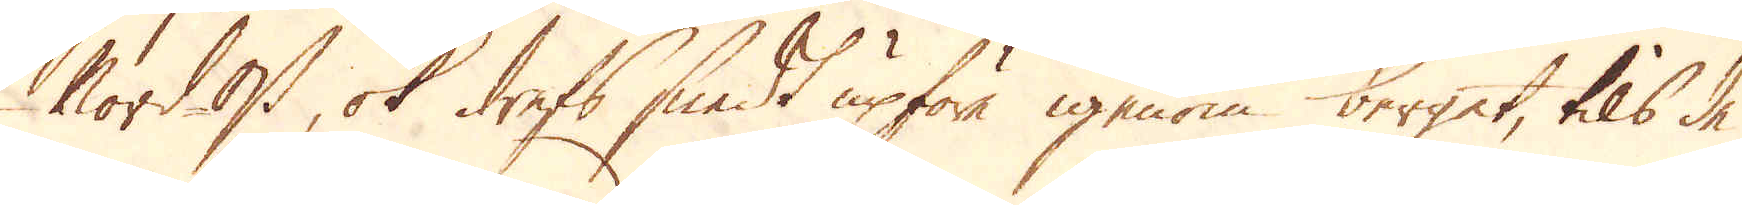Nordost, ok drefs snedt upföre igenom berget, tils de
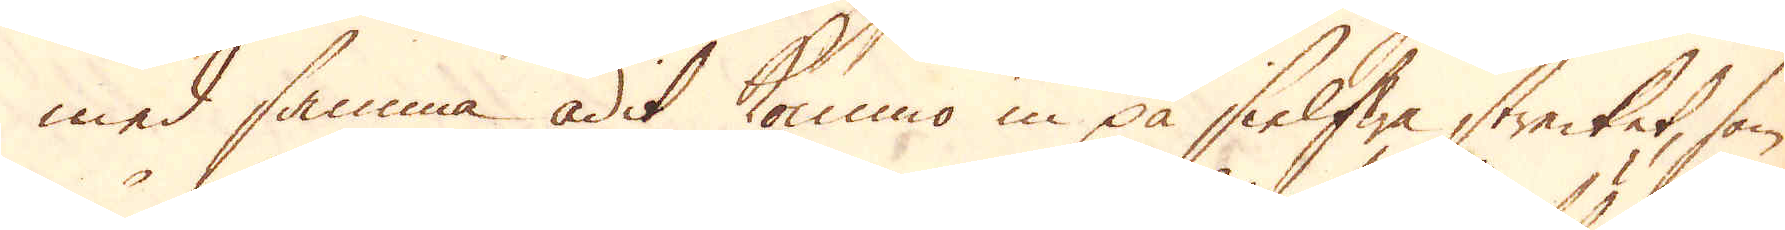med samma adit kommo in på sielfwa strecket, som
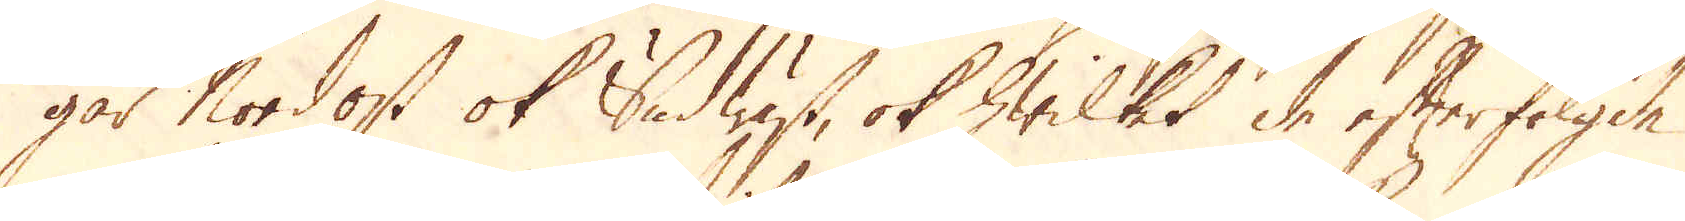går Nordost ok Sudwäst, ok hwilket de efterfölgde
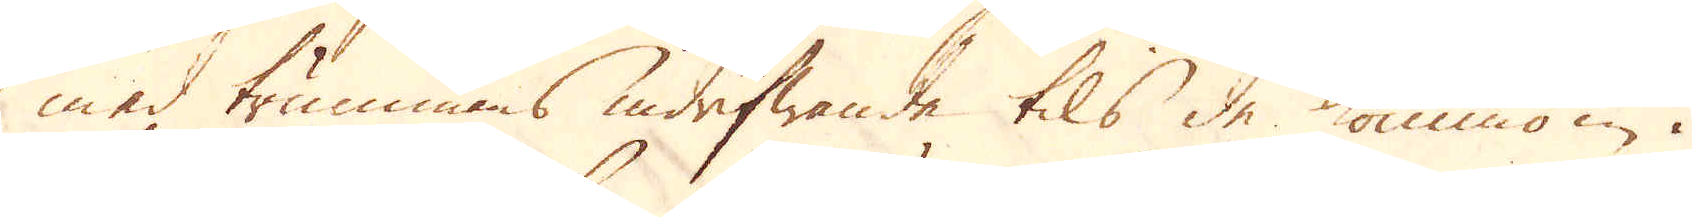med trummans indrifwande tils de kommo in i
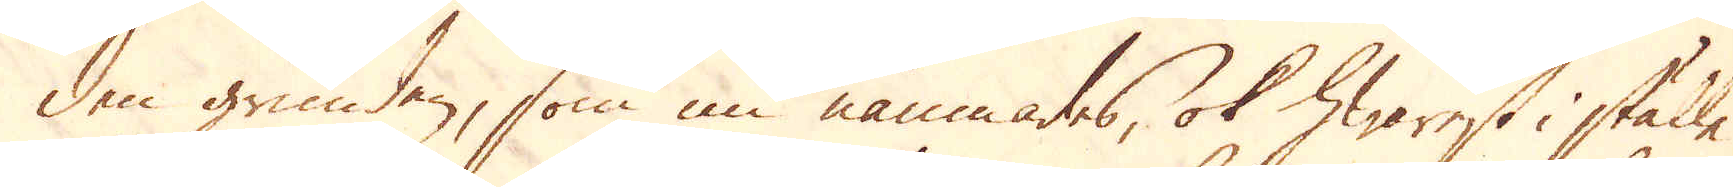den grunden, som nu nämnades, ok hwarest i ställe
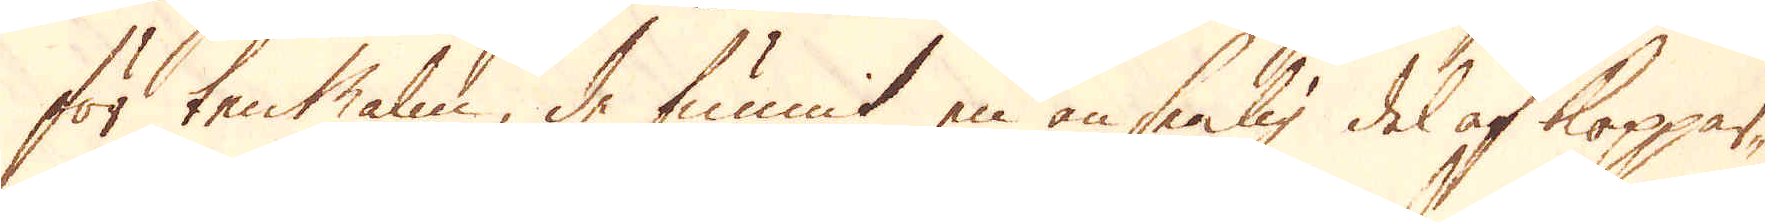för tenMalm, de funnit en ansenlig del af Koppar-
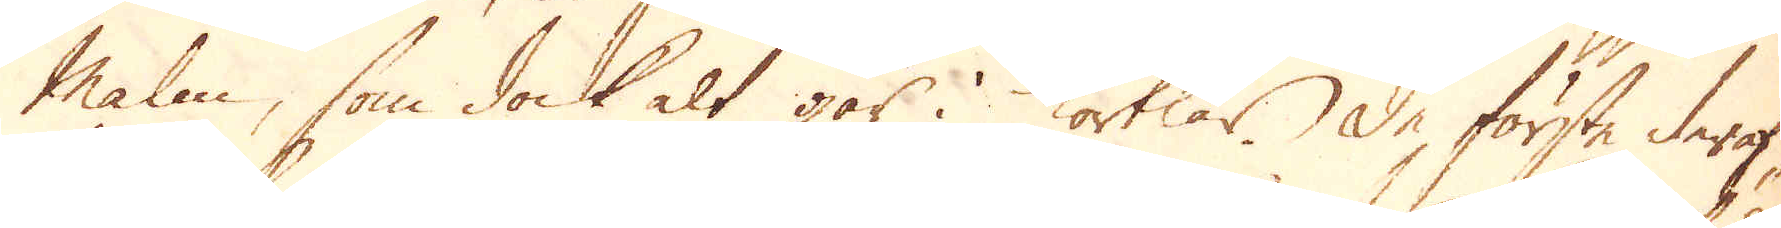Malm, som dock alt går i körtlar. De första deraf,
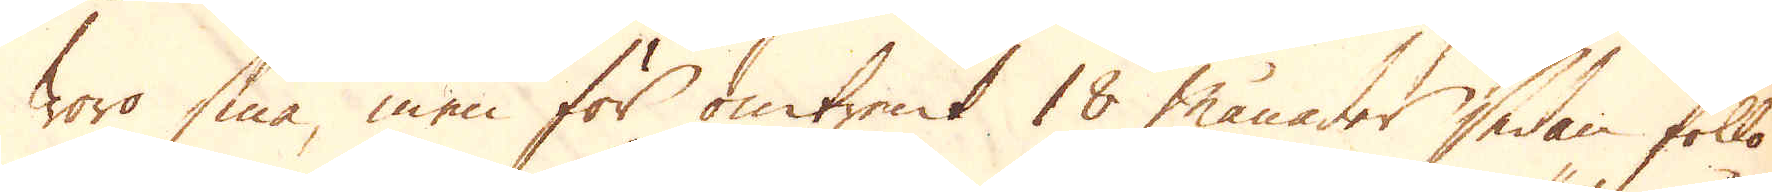woro små, men för omtrent 18 månader sedan föllo
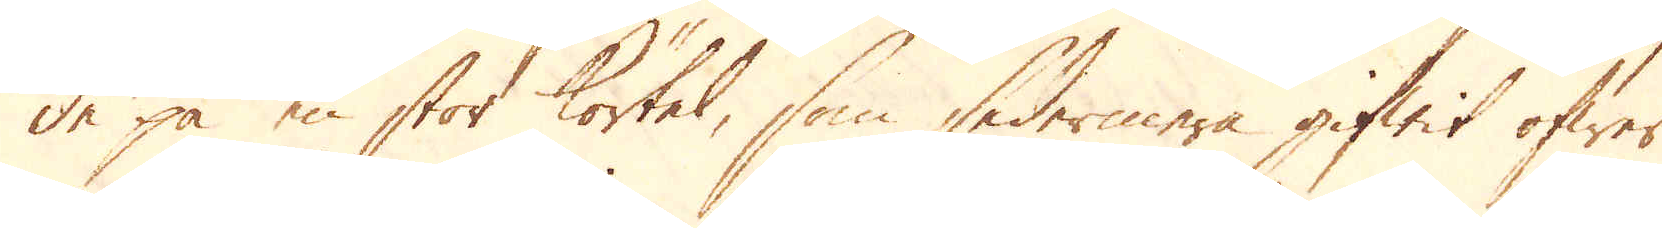de på en stor körtel, som sedermera gifwit öfwer
